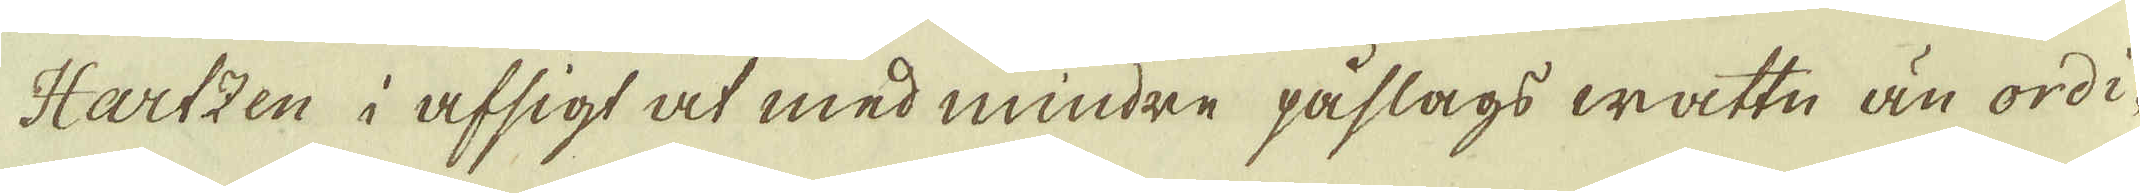Hartzen i afsigt at med mindre påslags wattn än ordi-
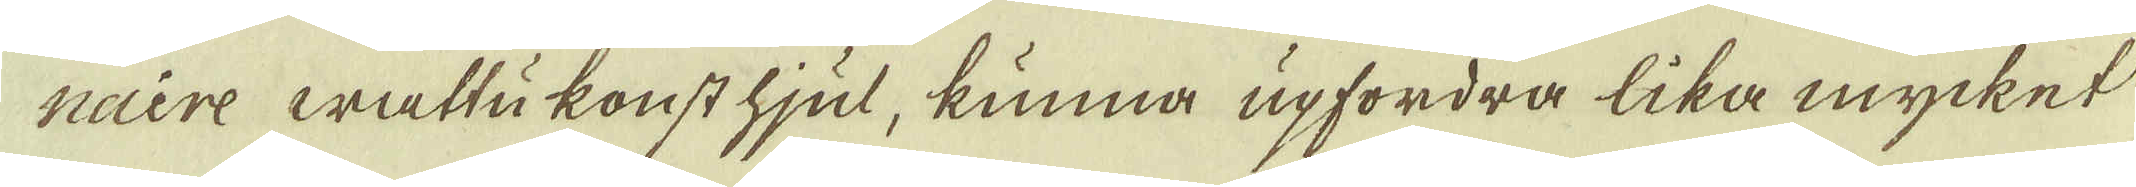nuere wattukonst hjul, kunna upfordra lika mycket
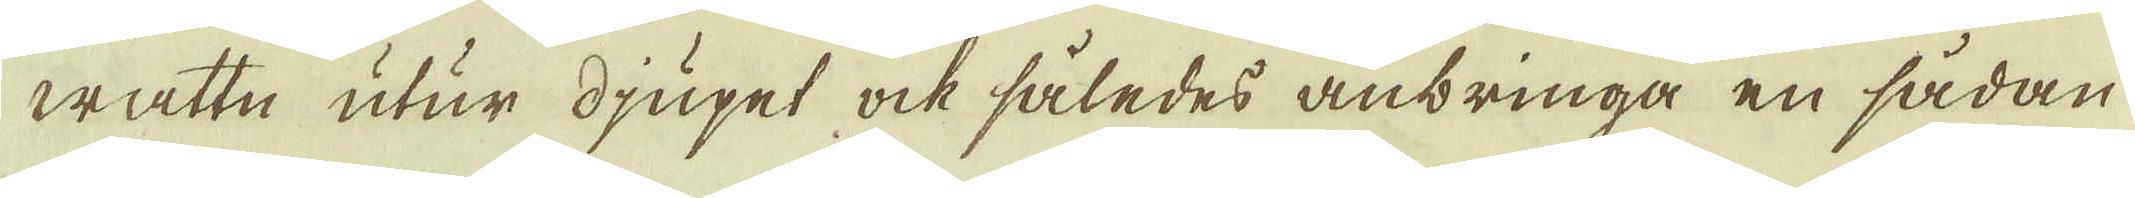wattn utur djupet ock således anbringa en sådan
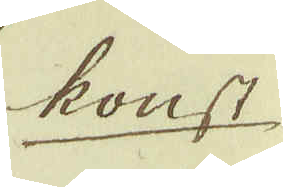konst
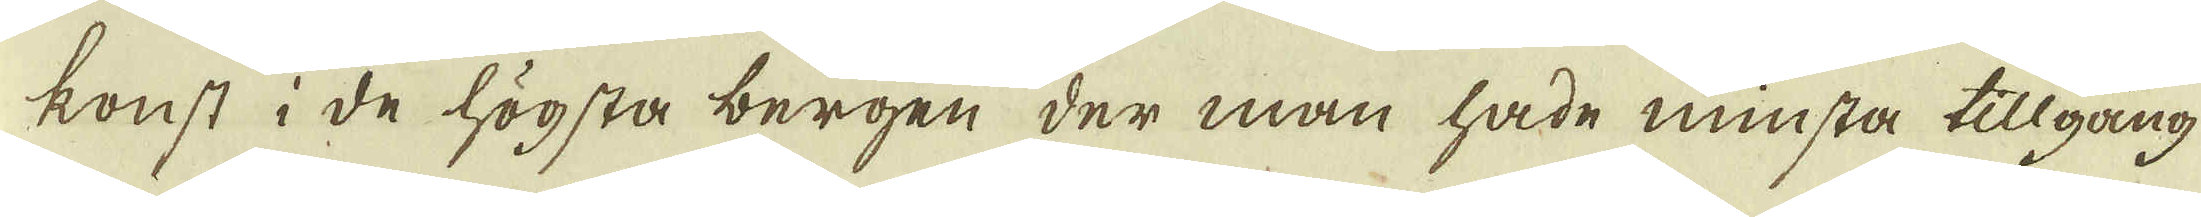konst i de högsta bergen der man hade minsta tillgång
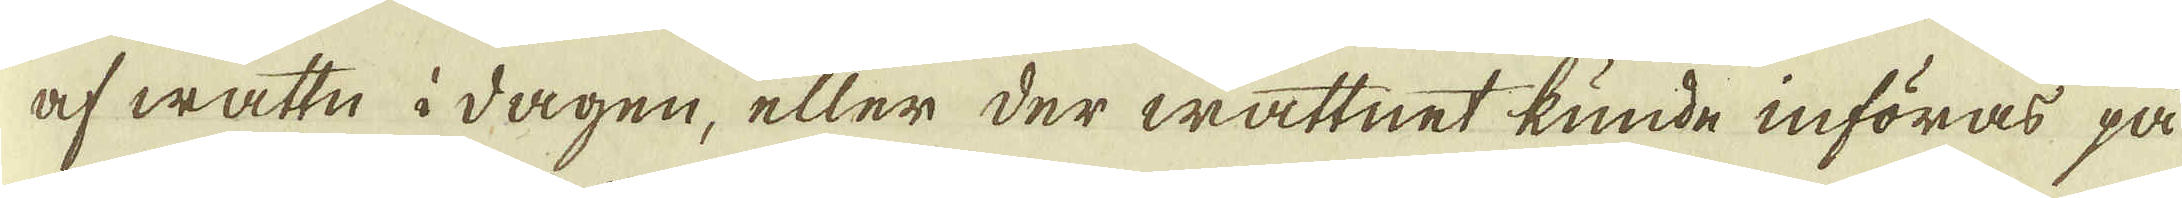af wattn i dagen, eller der wattnet kunde införas på
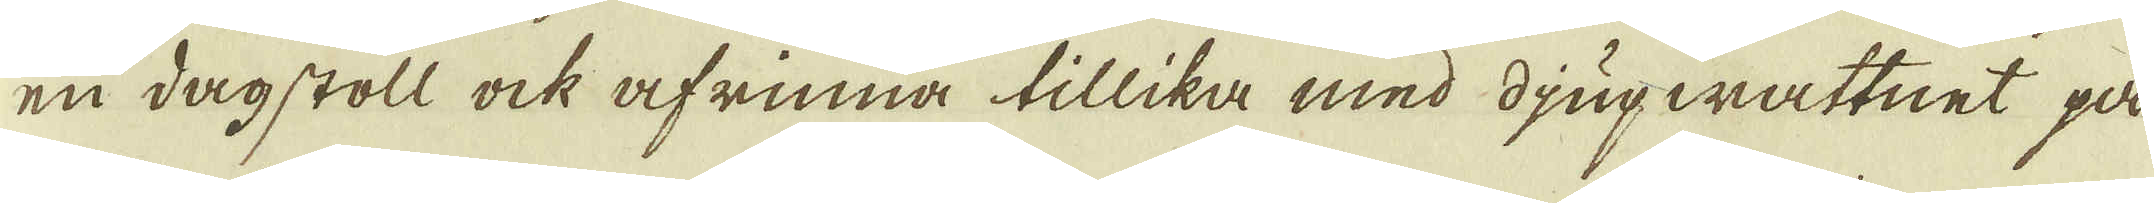en dagstoll ock afrinna tillika med djupwattnet på
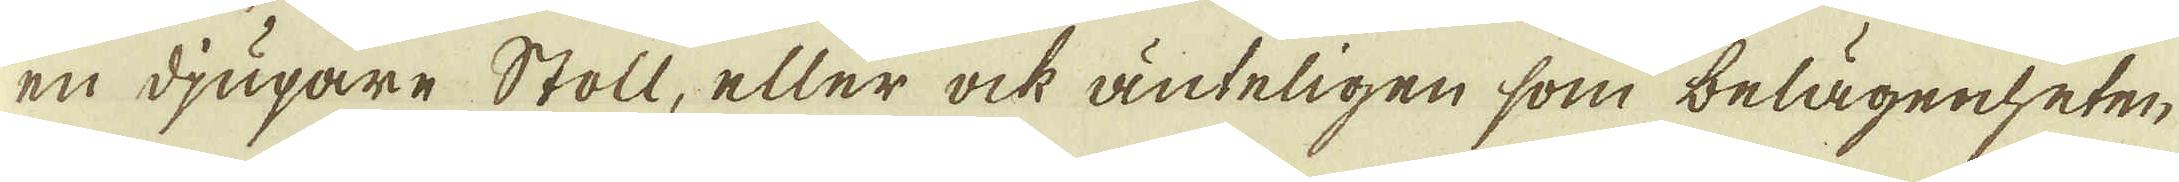en djupare Stoll, eller ock änteligen som belägenheten
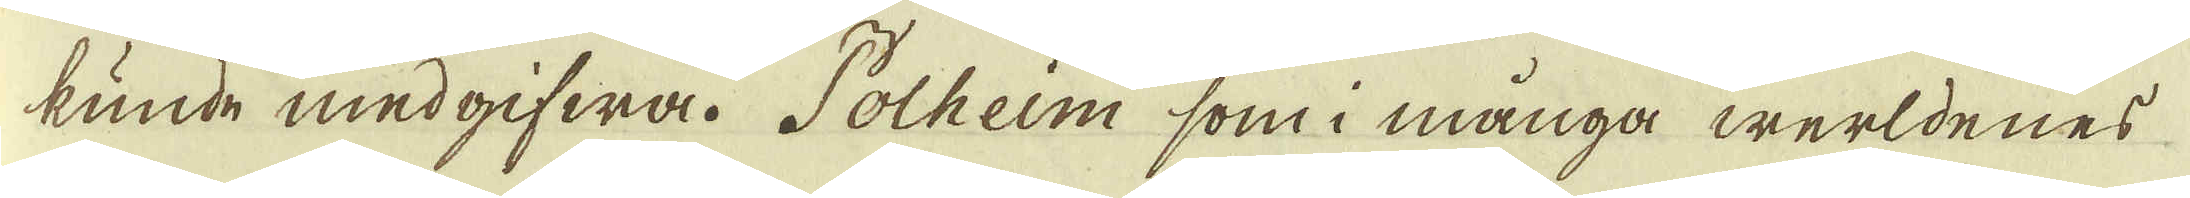kunde medgifwa. Polheim som i många werldenes
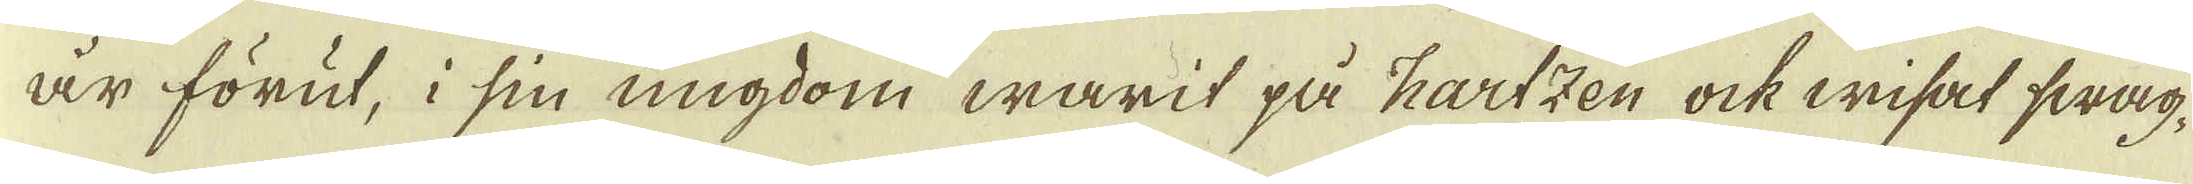år förut, i sin ungdom warit på Hartzen ock wisat swag-
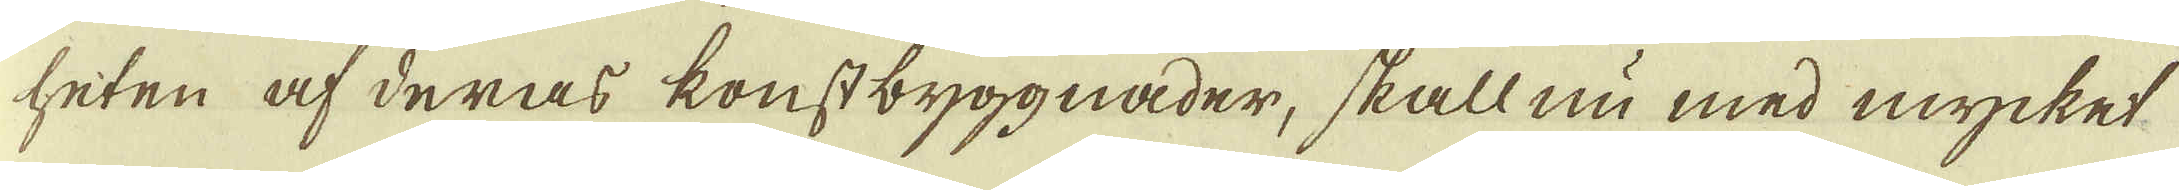heten af deras konstbyggnader, skall nu med mycket
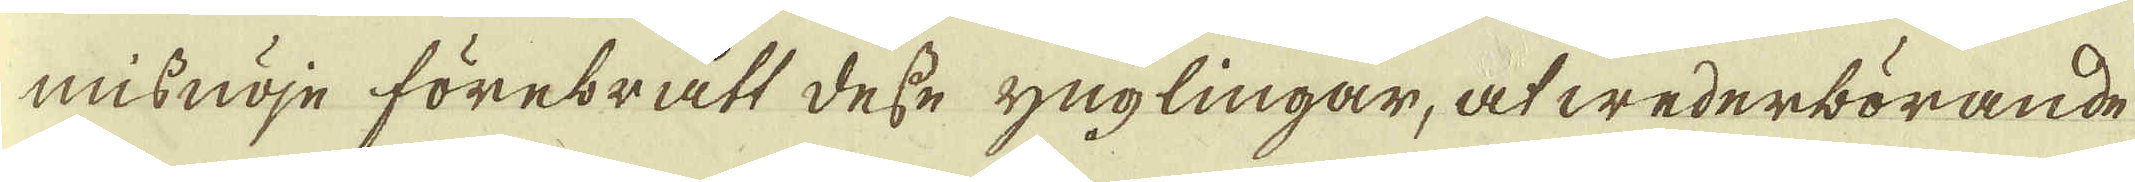misnöje förebratt desse ynglingar, at wederbörande
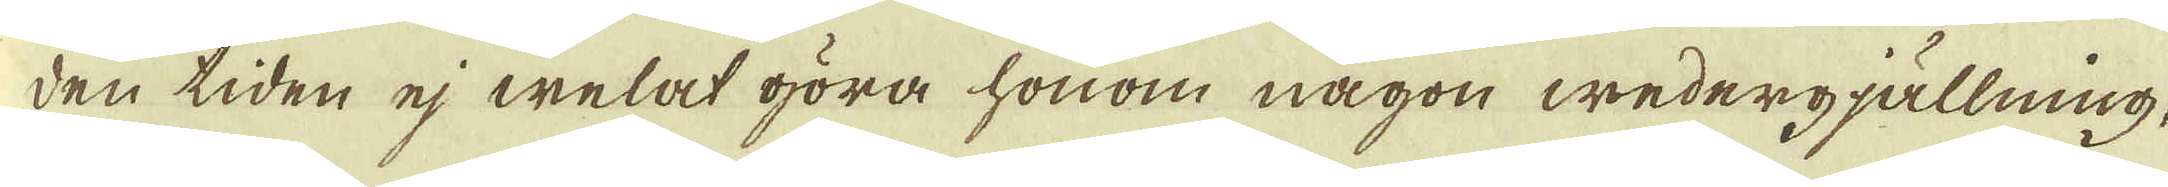den tiden ej welat göra honom någon wedergjällning,
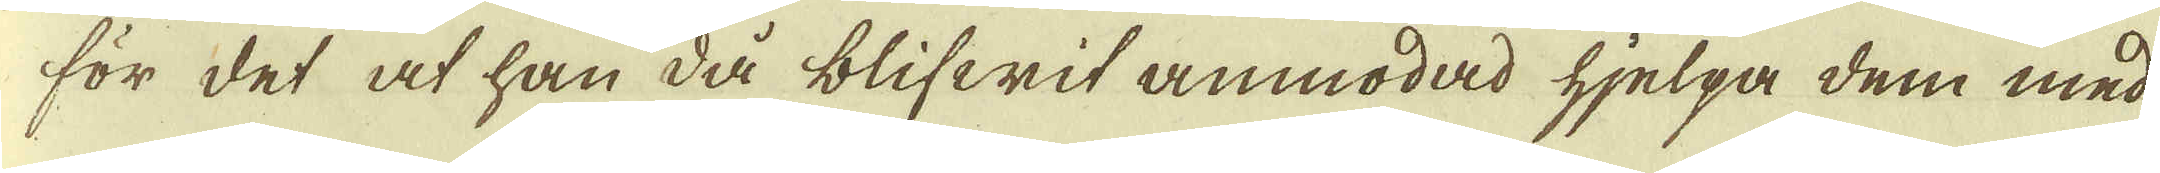för det at han då blifwit anmodad hjelpa dem med
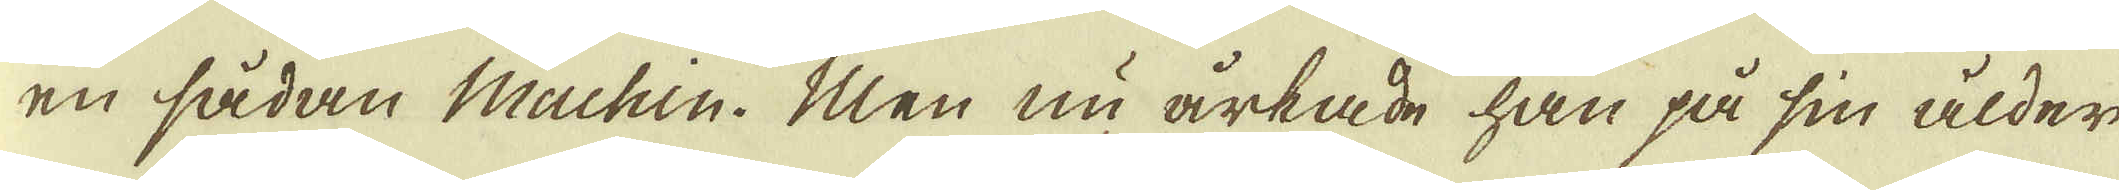en sådan Machin. Men nu årkade han på sin ålder
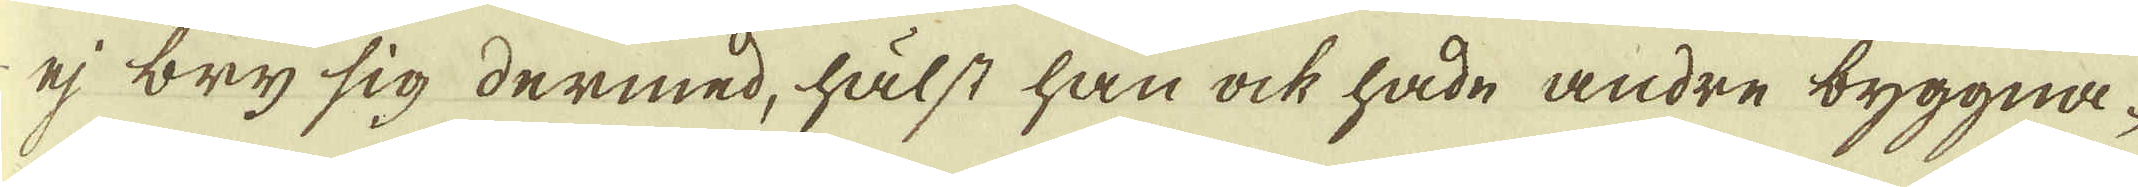ej bry sig dermed, hälst han ock hade andre byggna-
